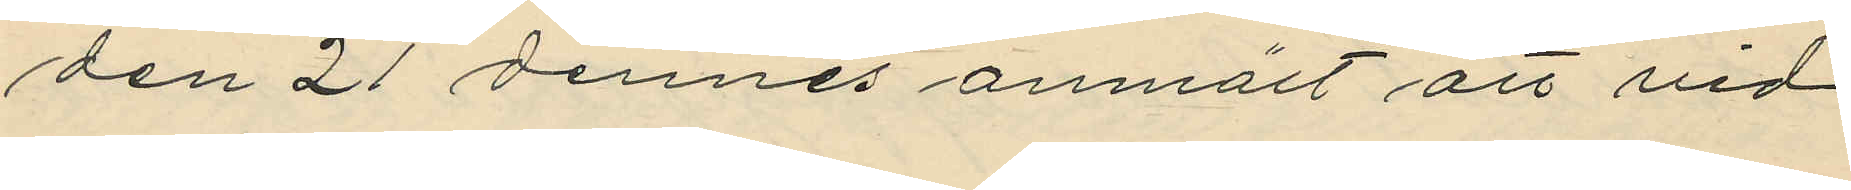den 21 dennes anmält att vid
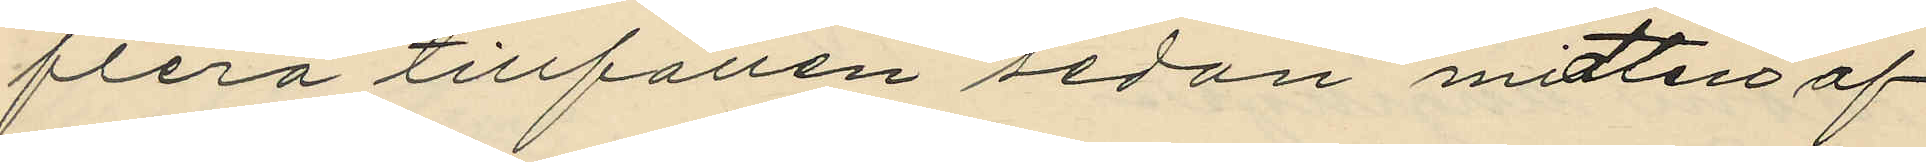flera tillfällen sedan midten af
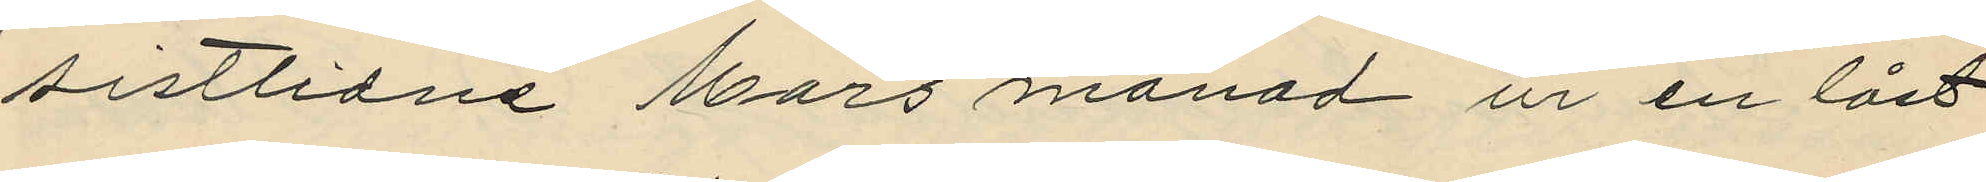sistlidne Mars månad ur en låst
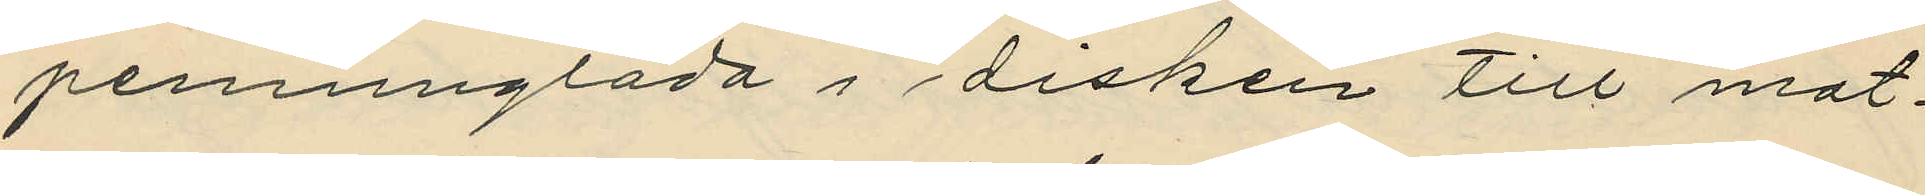penninglåda i disken till mat¬
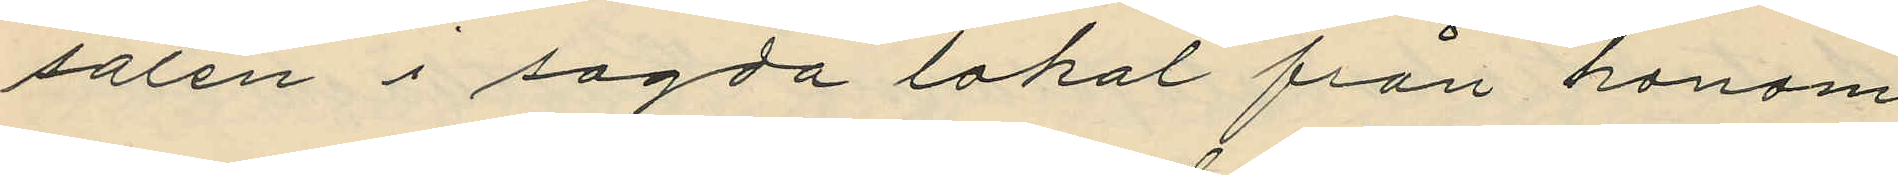salen i sagda lokal från honom
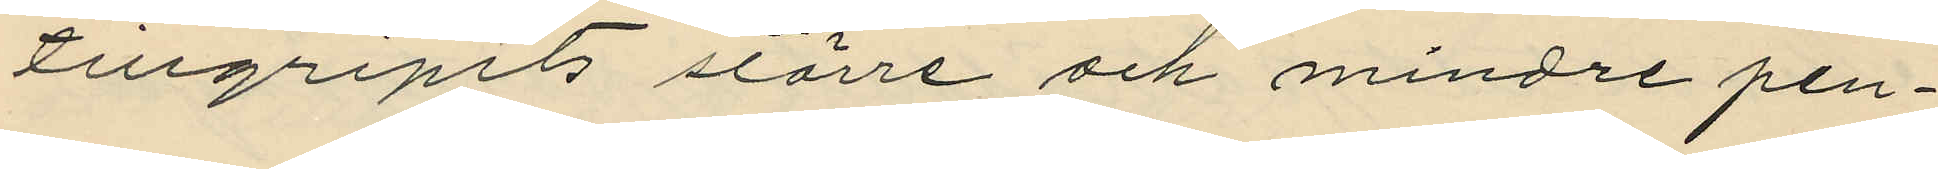tillgripits större och mindre pen¬
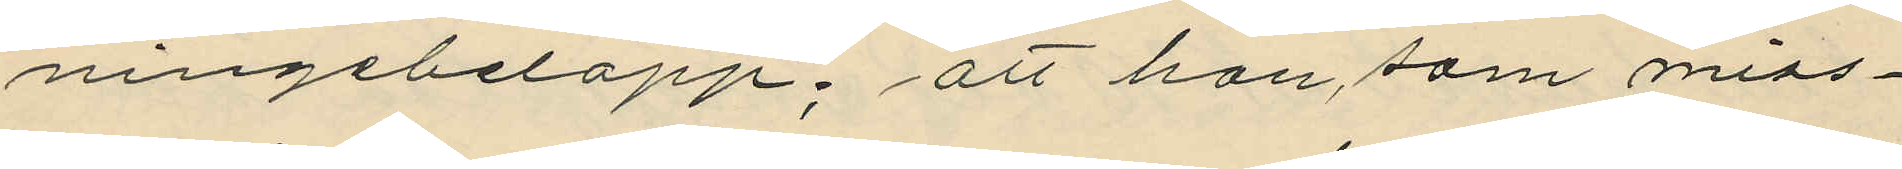ningebelopp; att han som miss¬
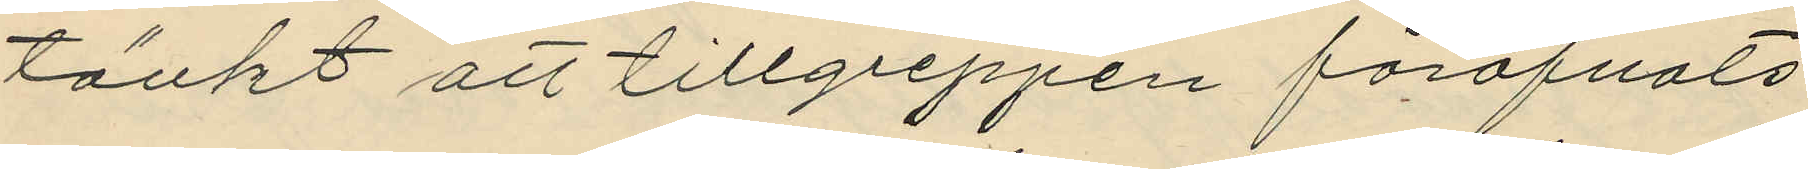tänkt att tillgreppen föröfvats
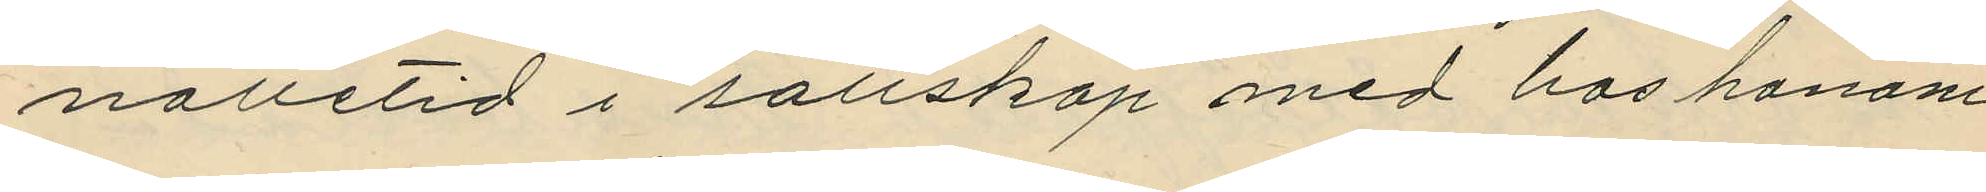nattetid i sällskap med hos honom
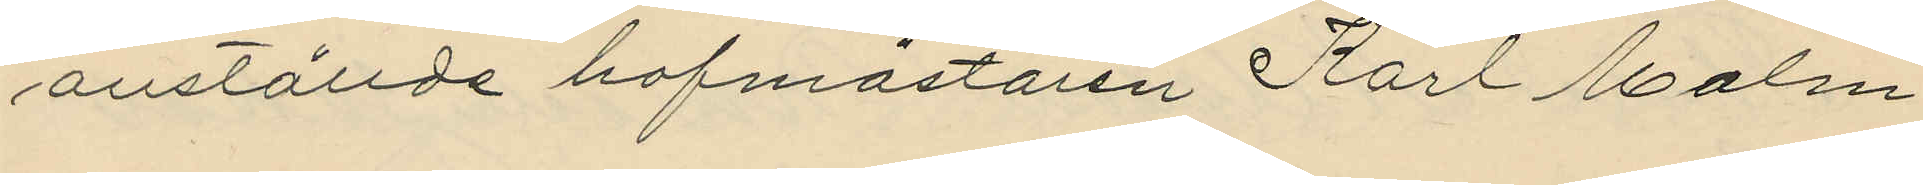anställde hofmästaren Karl Malm
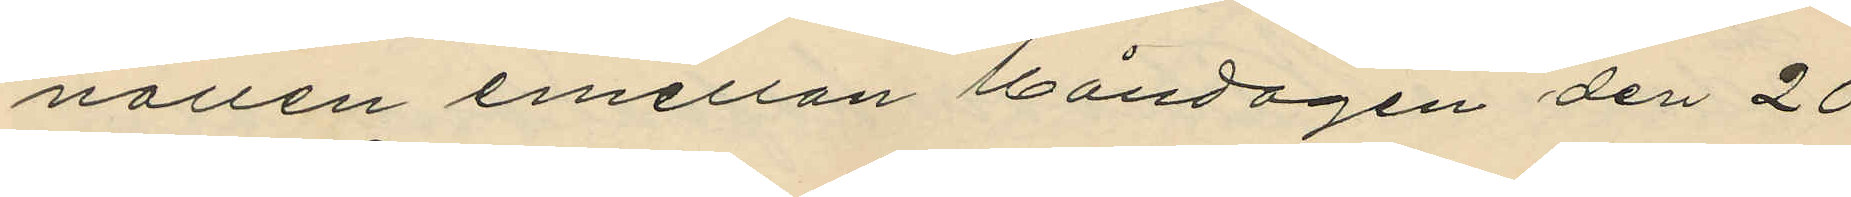nallen emellan Måndagen den 20
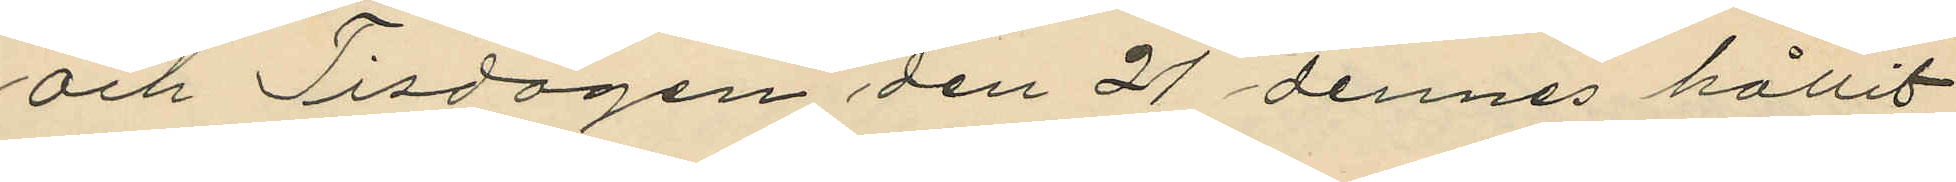och Tisdagen den 21 dennes hållit
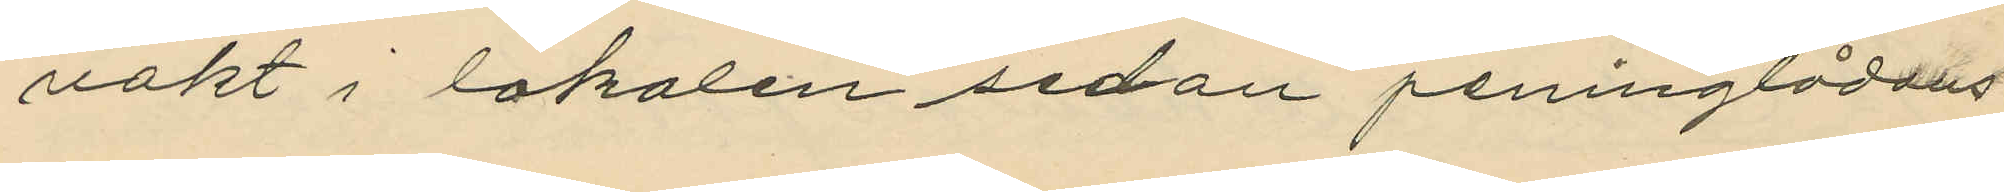vakt i lokalen sedan peninglådans
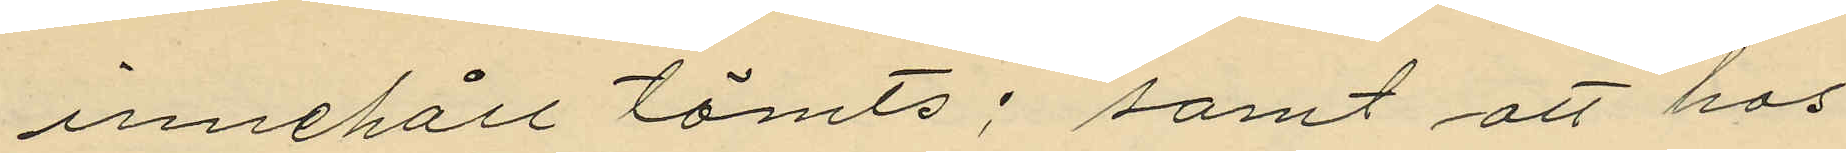innehåll tömts; samt att hos
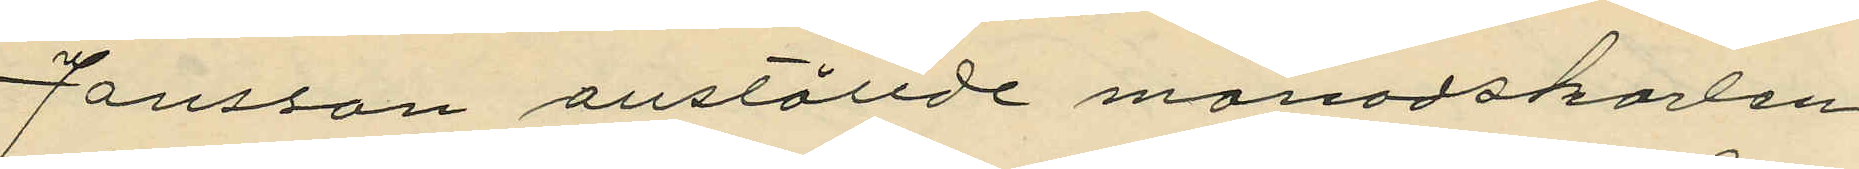Jansson anställde månadskarlen
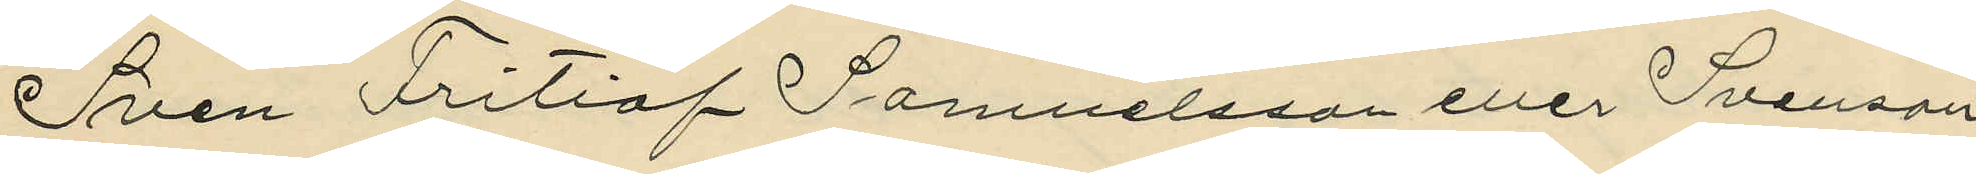Sven Fritiof Samuelsson eller Svenson
